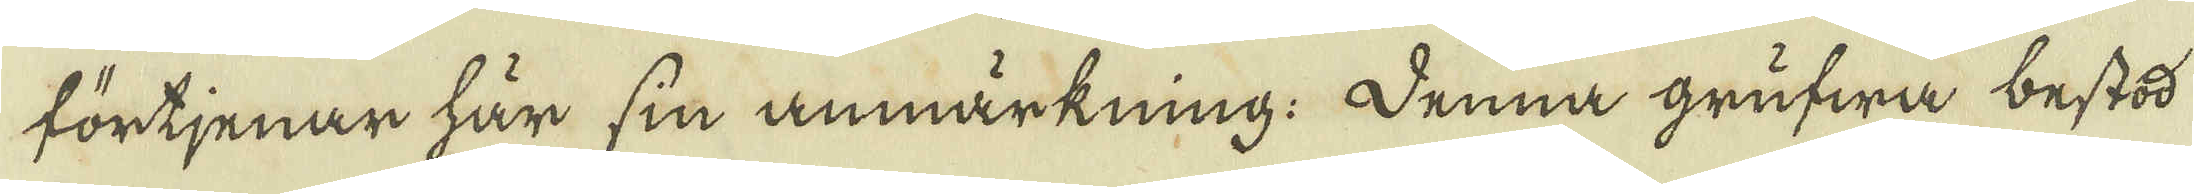förtjenar här sin anmärkning. Denna grufwa bestod
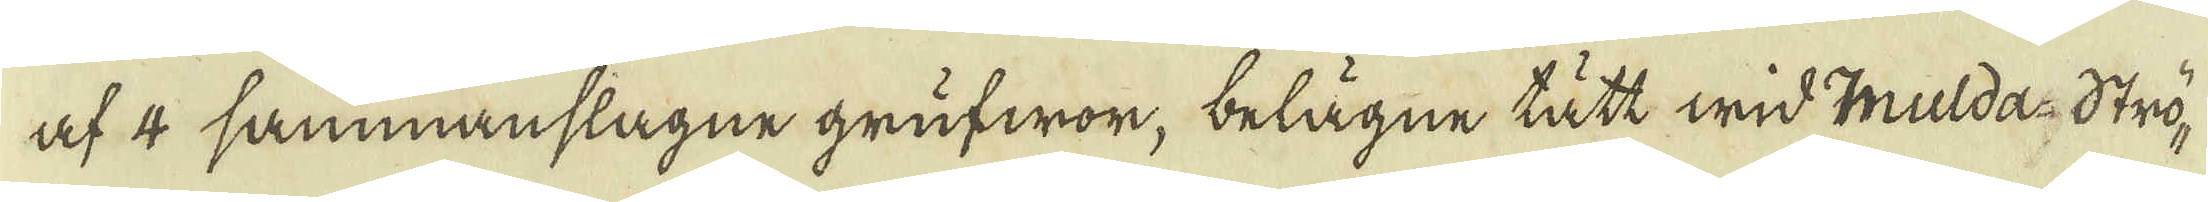af 4 sammanslagne grufwor, belägne tätt wid mulda-Strö-
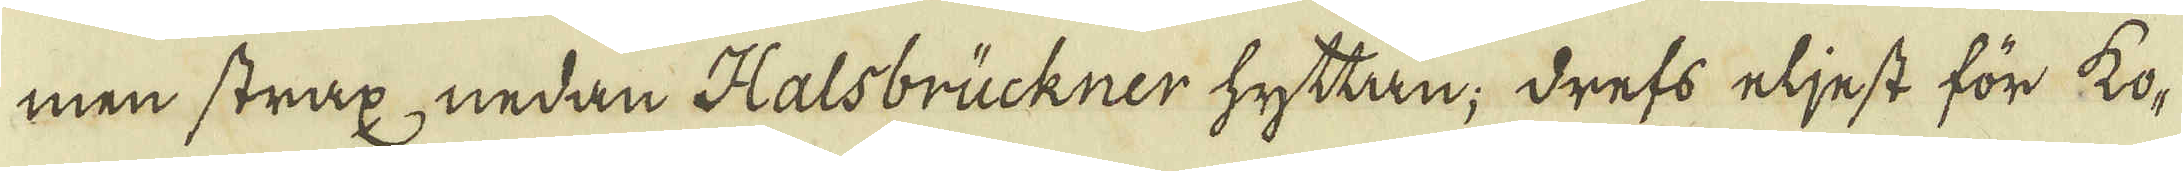men strax nedan Halsbrückner hyttan; drefs eljest för ko-
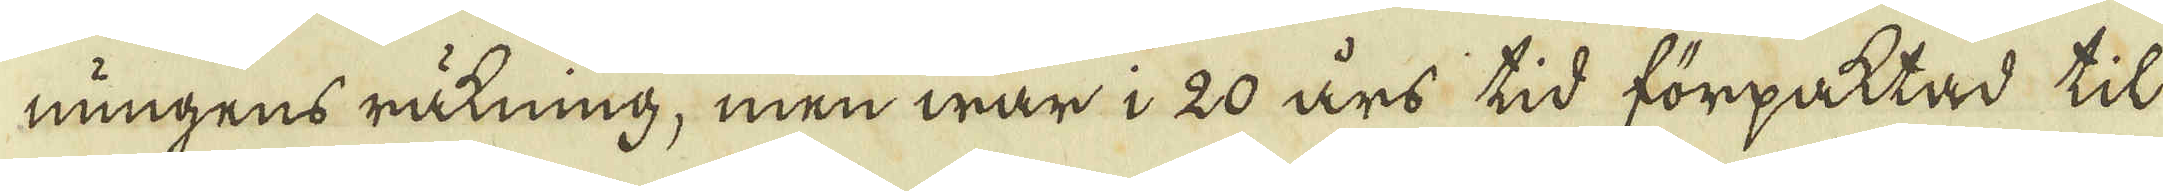nungens räkning, men war i 20 års tid förpaktad til
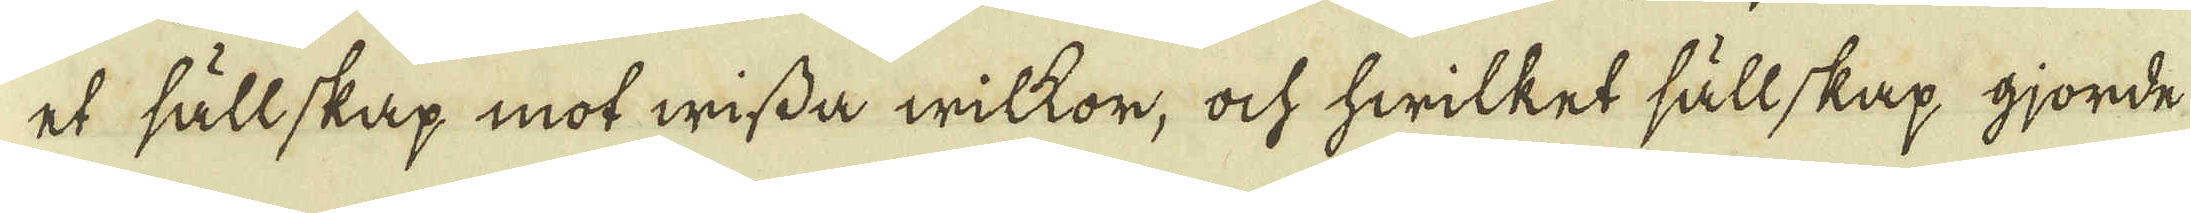et sällskap mot wissa wilkor, och hwilket sällskap gjorde
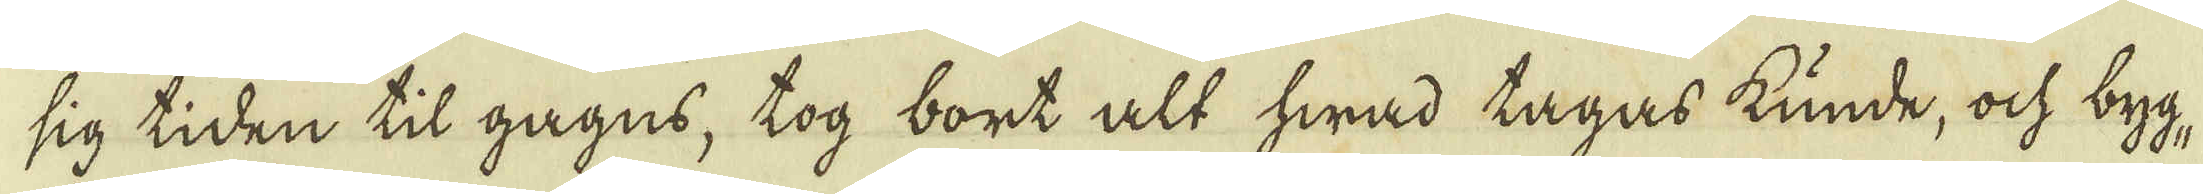sig tiden til gagns, tog bort alt hwad tagas kunde, och byg-
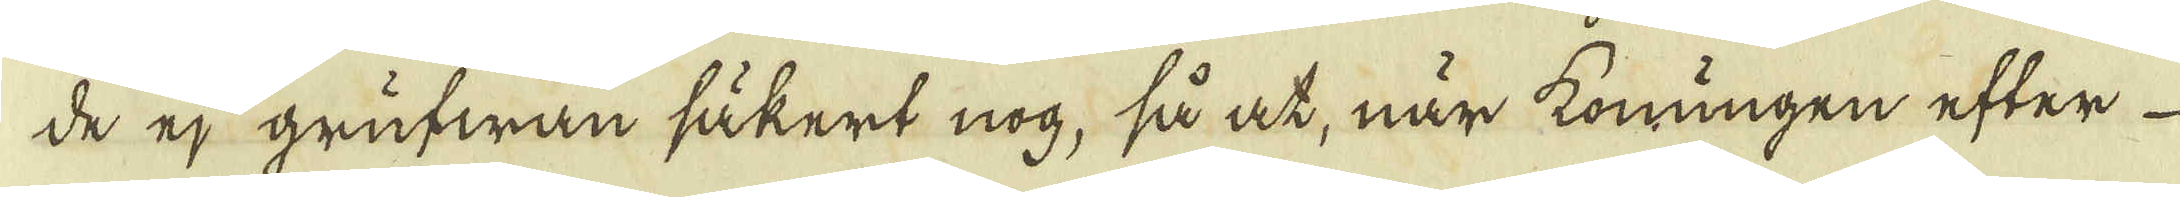de ej grufwan säkert nog, så at, när konungen efter
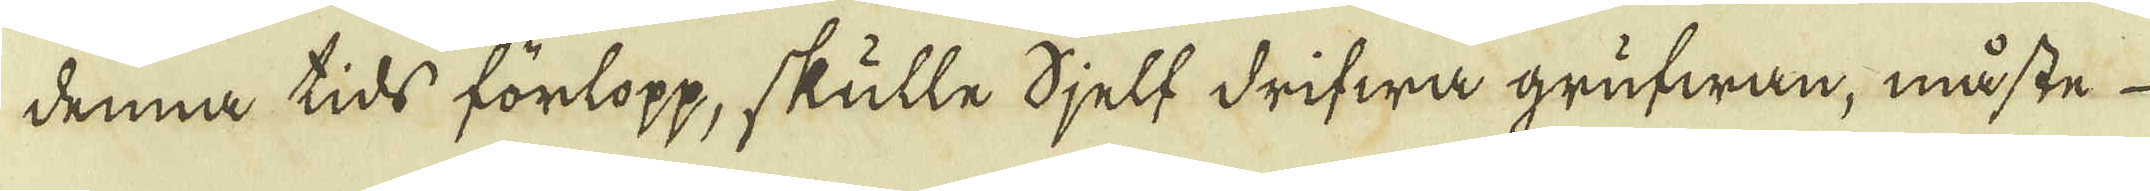denna tids förlopp, skulle sjelf drifwa grufwan, måste
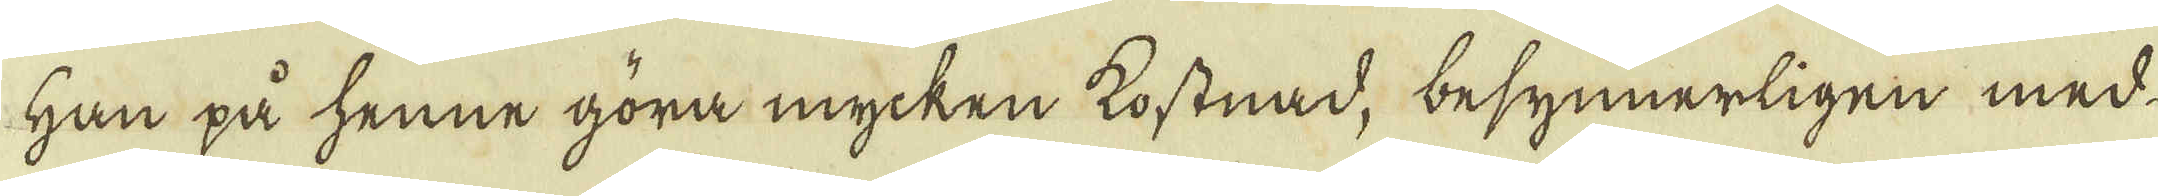han på henne göra mycken kostnad, besynnerligen med
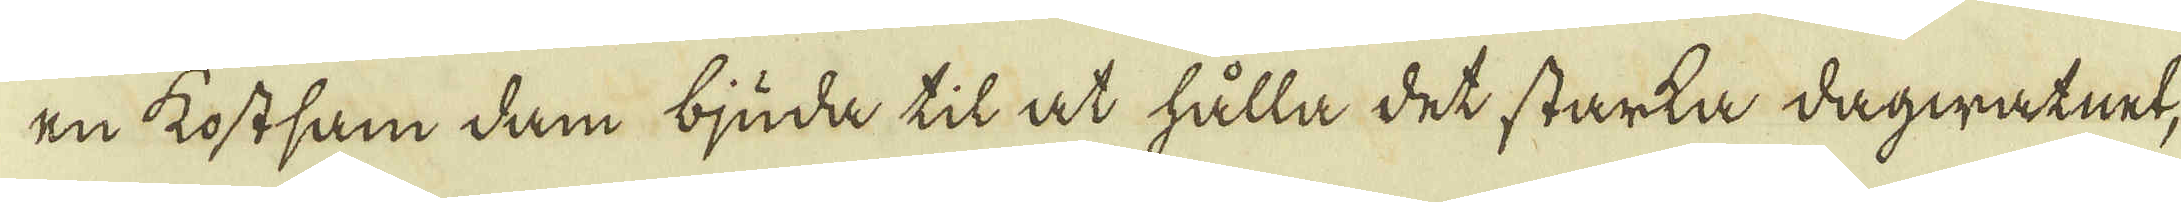en kostsam dam bjuda til at hålla det starka dagwatnet,
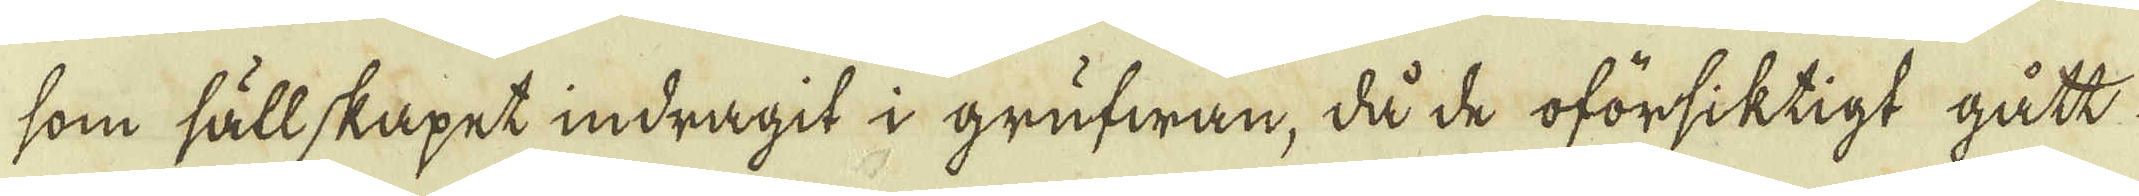som sällskapet indragit i grufwan, då de oförsiktigt gått
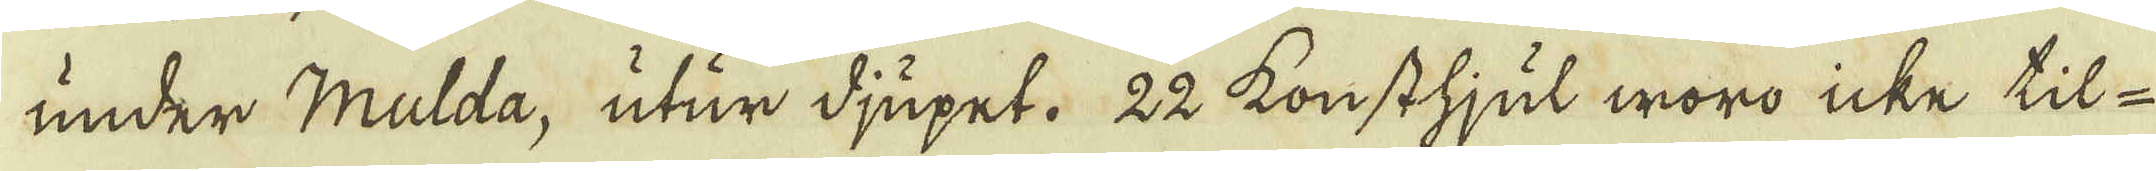under Mulda, utur djupet. 22 konsthjul woro icke til
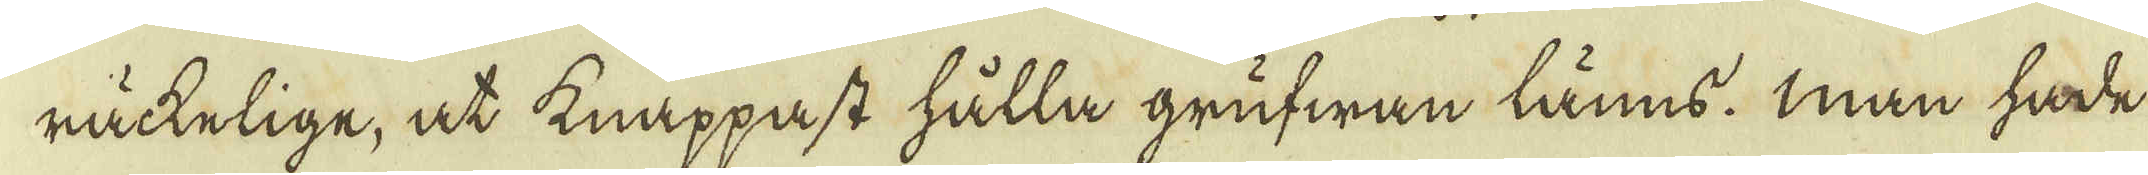räckelige, at knappast hålla grufwan läns. Man hade
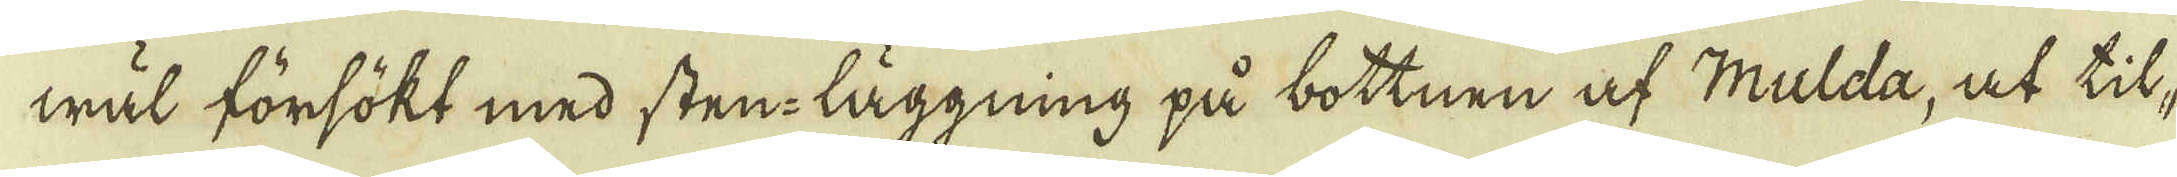wäl försökt med sten-läggning på bottnen af Mulda, at til-
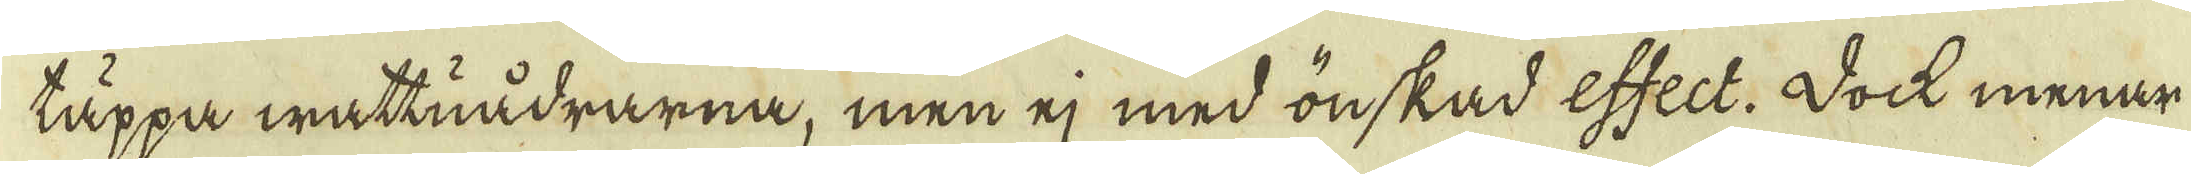täppa wattuådrarna, men ej med önskad effect. Dock menar
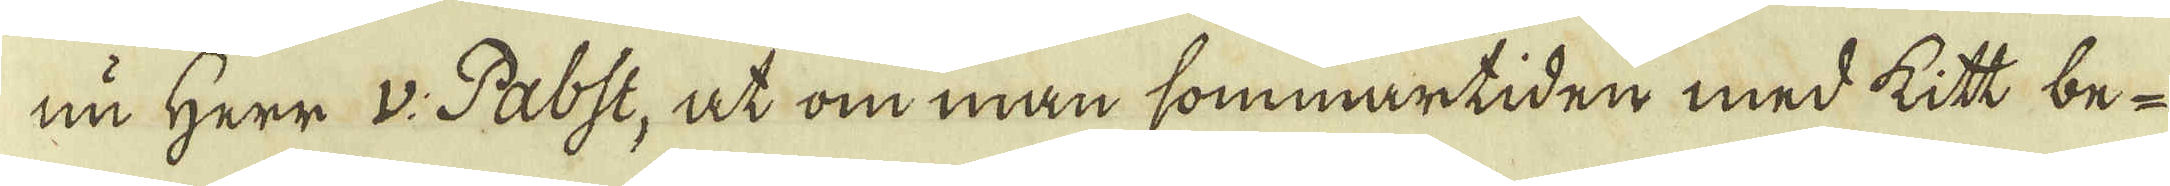nu Herr v: Pabst, at om man sommartiden med kitt be-
